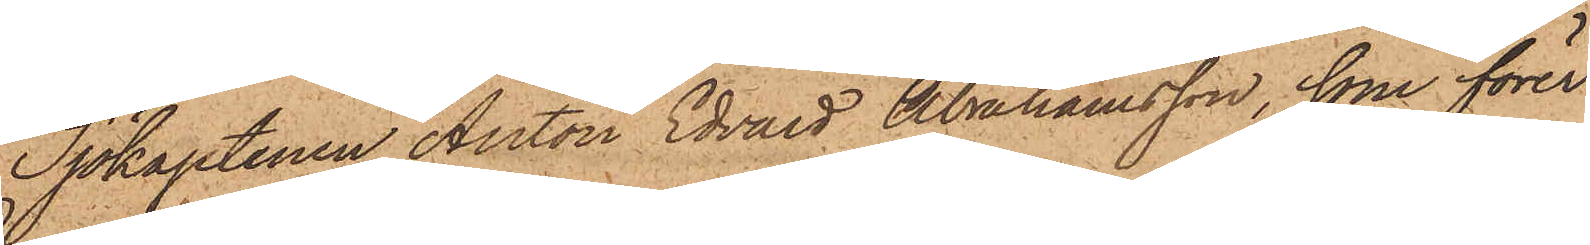Sjökaptenen Anton Edvard Abrahamsson, som förer
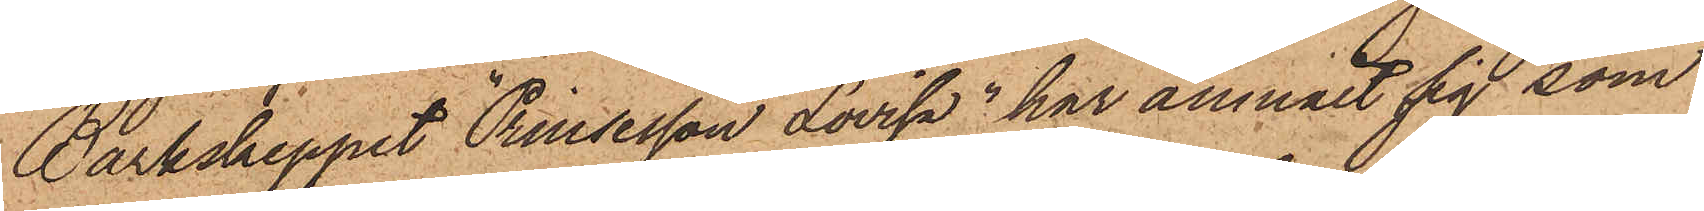Barkskeppet Prinsesson Lovisa", har anmält sig som
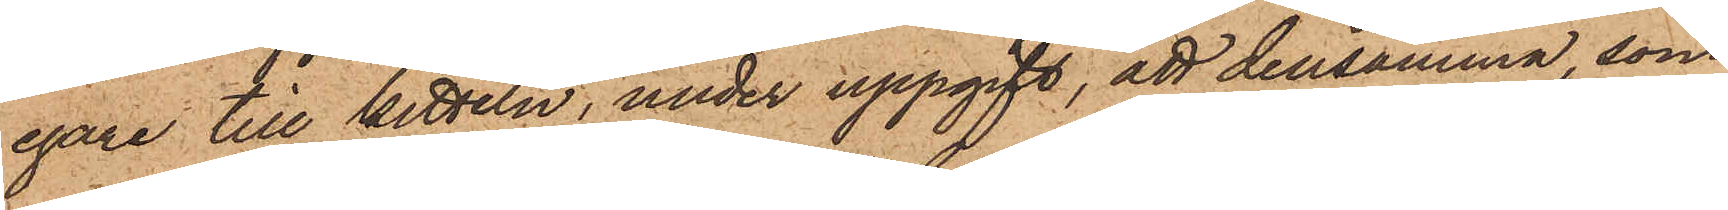egare till kitteln, under uppgift, att densamma, som
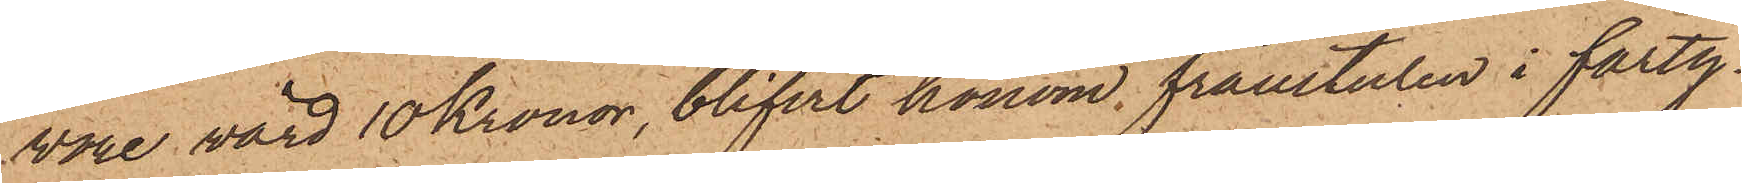vore värd 10 Kronor, blifvit honom frånstulen i farty¬
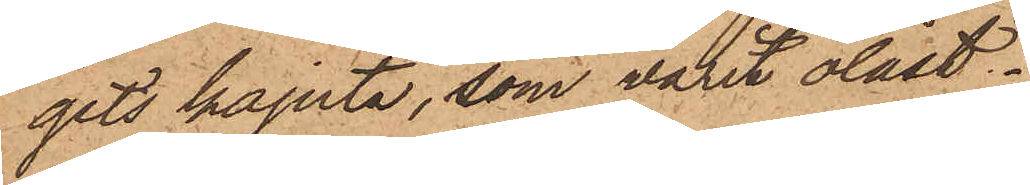gets kajuta, som varit olåst.
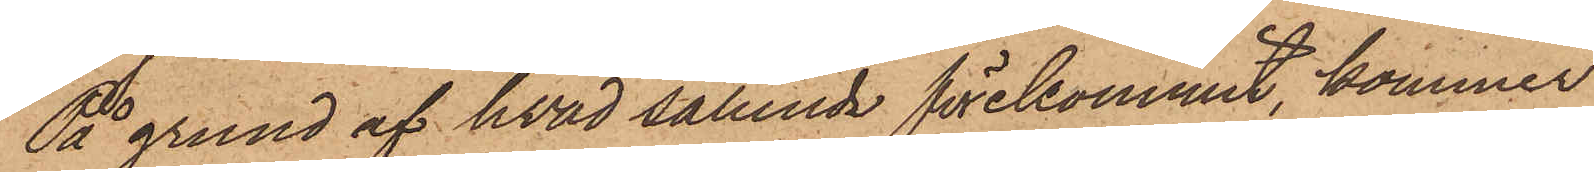På grund af hvad sålunda förekommit, kommer
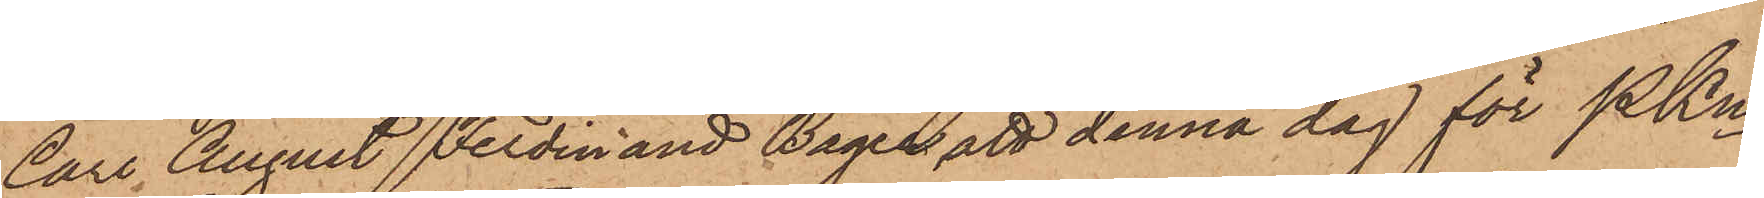Carl August Ferdinand Bager att denna dag för PKn
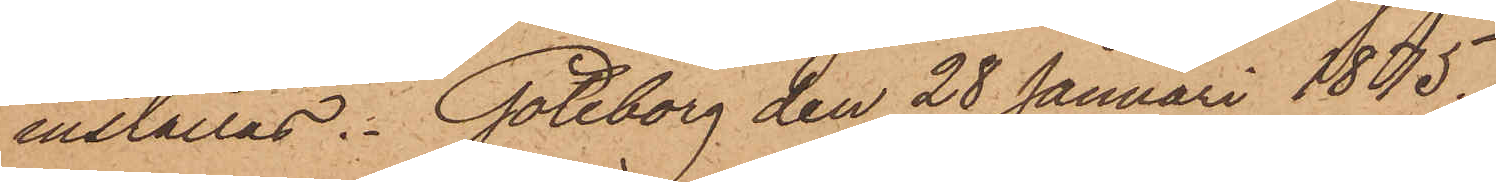inställas. Göteborg den 28 Januari 1875.
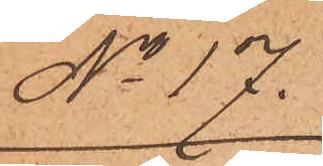No 17.
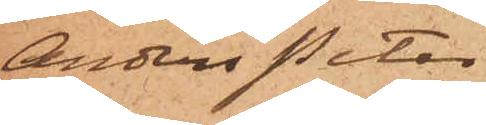Anders Peter
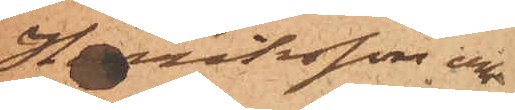Henriksson och
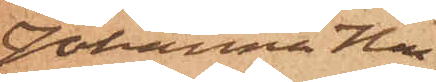Johanna Hen¬
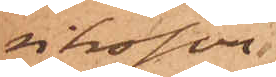riksson
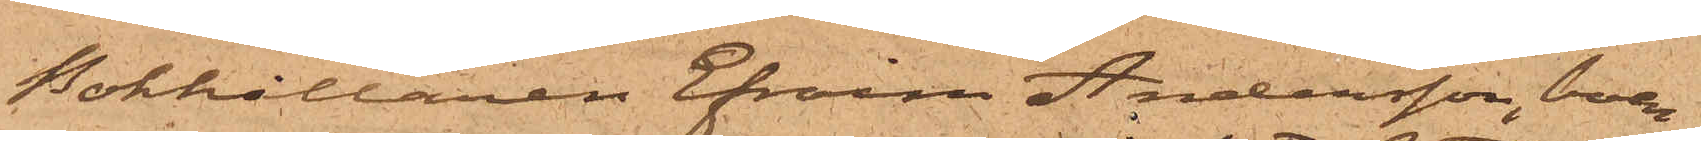Bokhållaren Efraim Andersson, boen¬
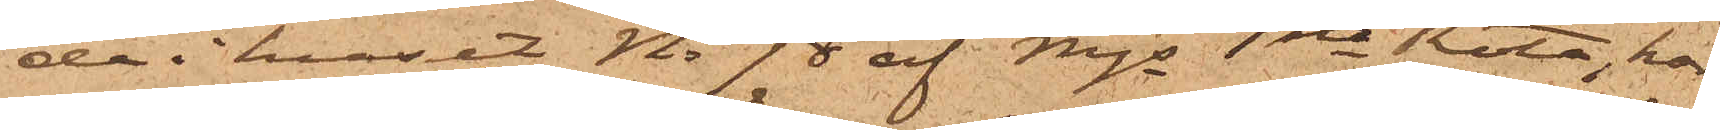de i huset No 98 af Mjs 1sta Rote, har
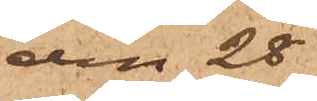den 28
